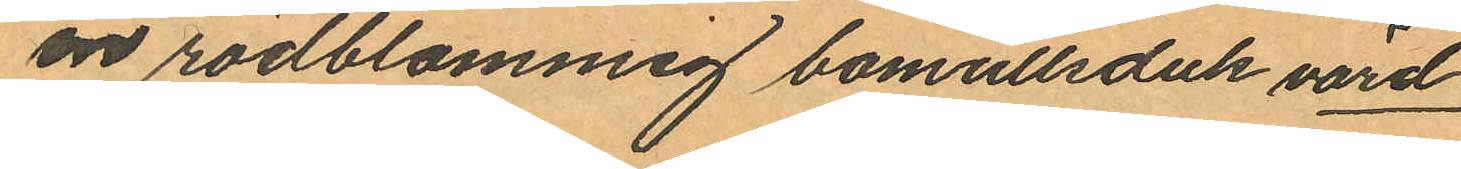en rödblommig bomullsduk värd
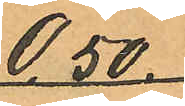0,50.
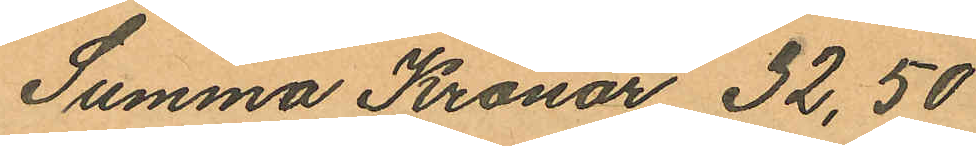Summa Kronor 32,50
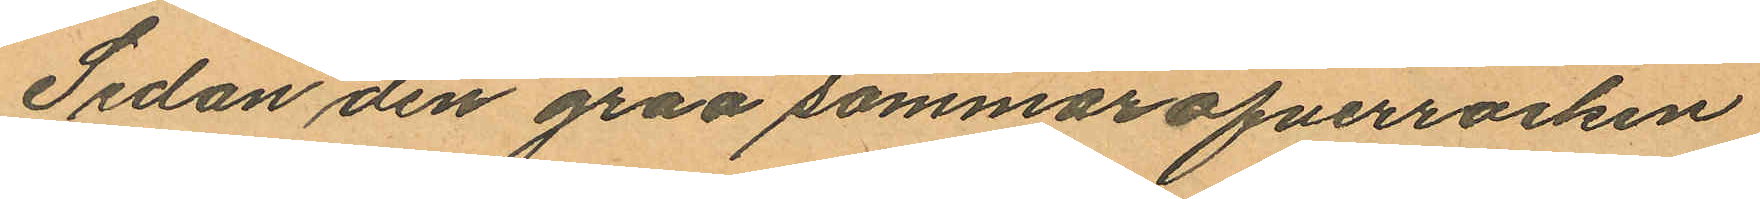Sedan den gråa sommaröfverrocken
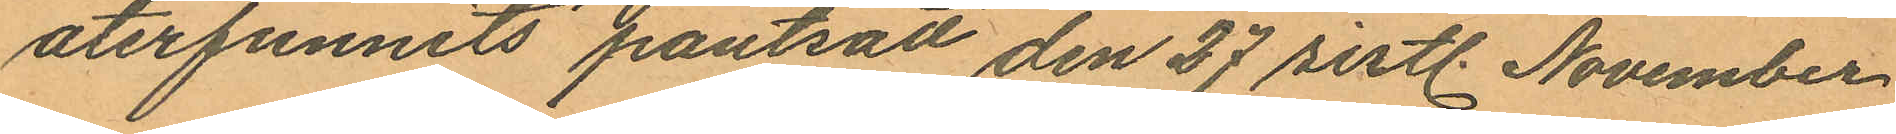återfunnits pantsatt den 27 sistl. November
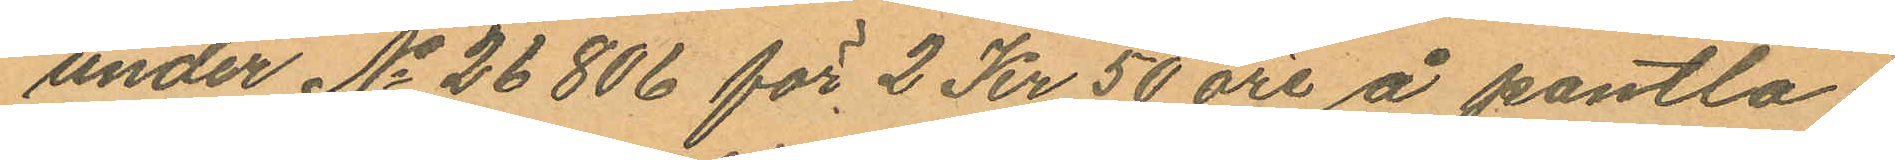under No 26806 för 2 Kr 50 öre å pantlå¬
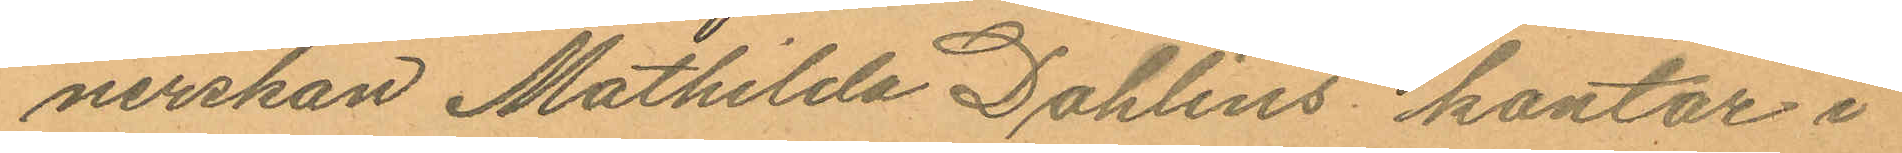nerskan Mathilda Dahlins kontor i
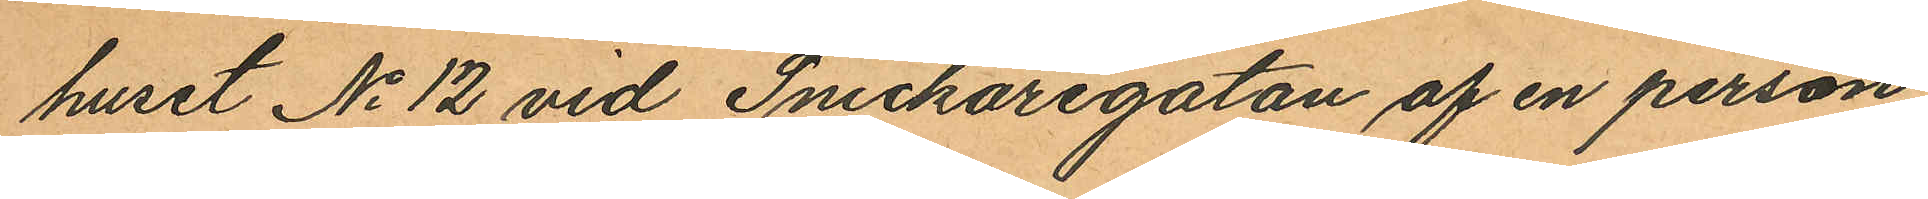huset No 12 vid Snickaregatan af en person,
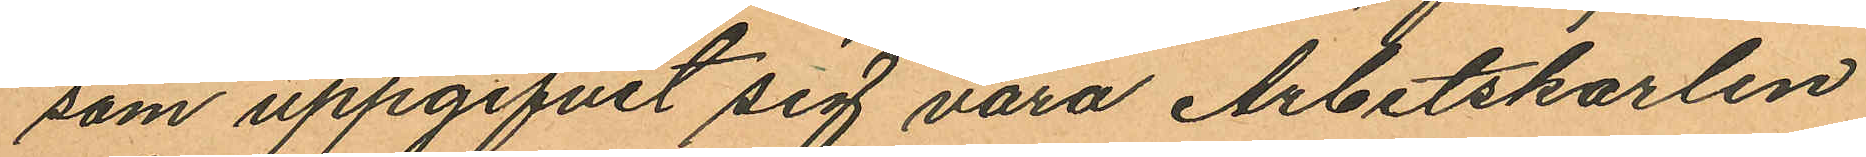som uppgifvit sig vara Arbetskarlen
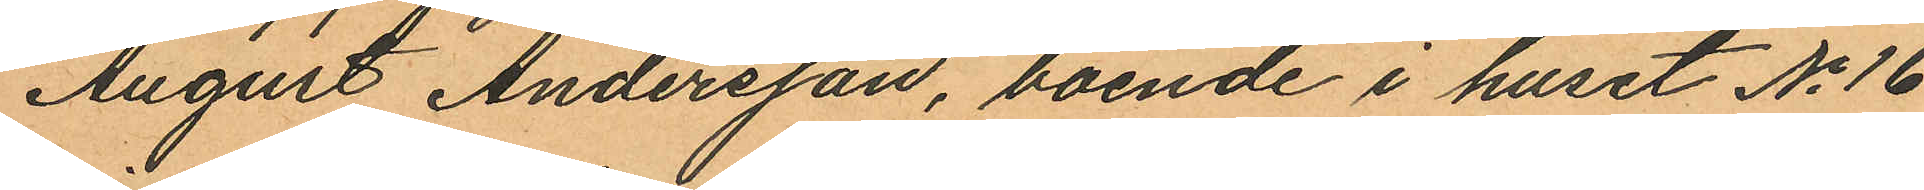August Andersson, boende i huset No 16
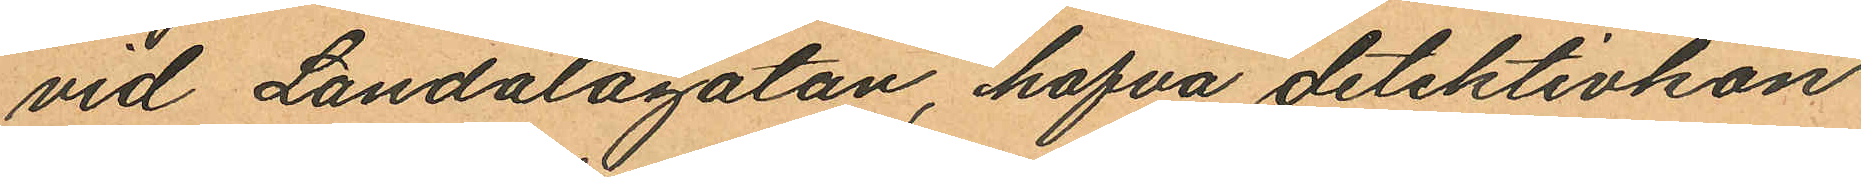vid Landalagatan, hafva detektivkon¬
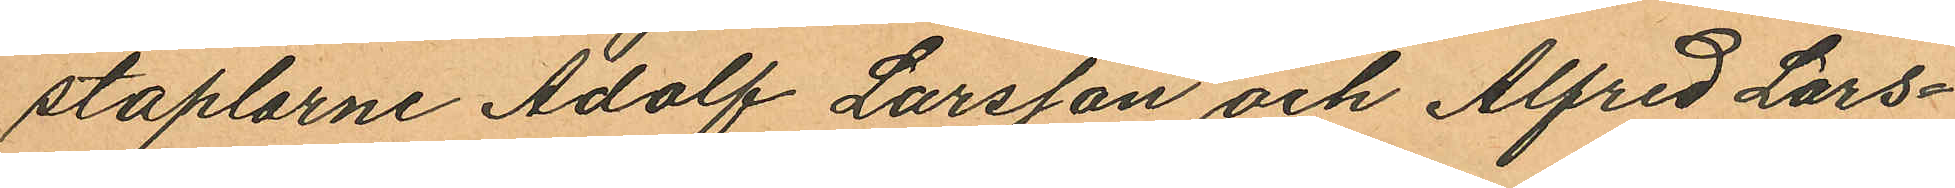staplarne Adolf Larsson och Alfred Lars¬
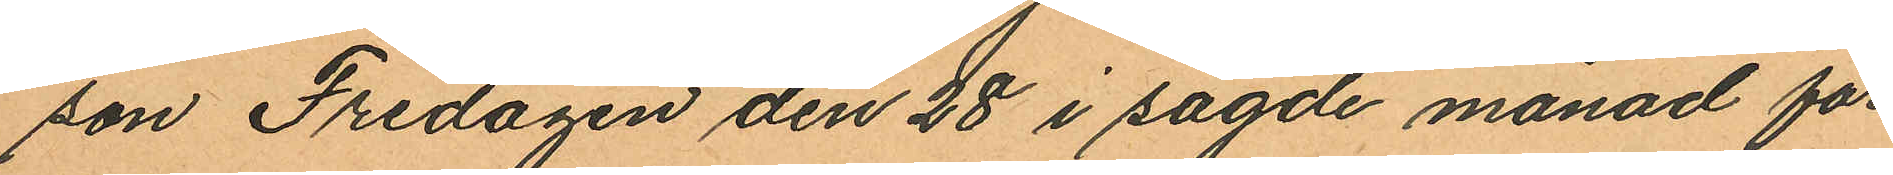son Fredagen den 28 i sagde månad för
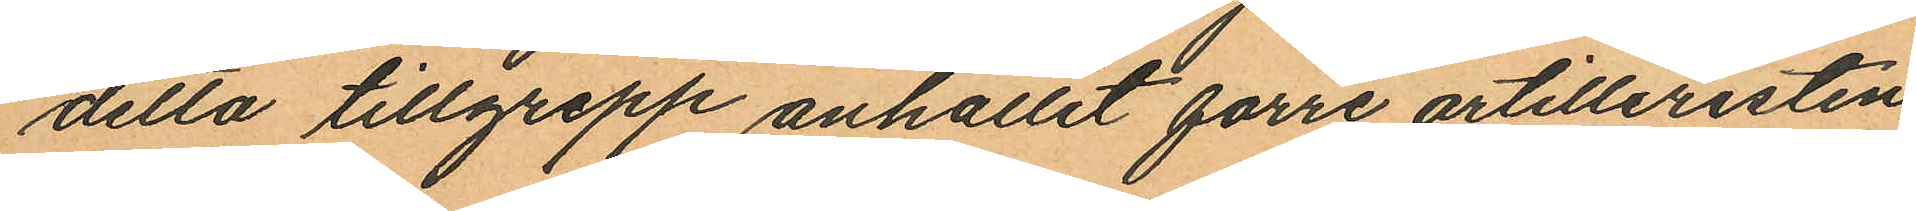detta tillgrepp anhållit förre artilleristen
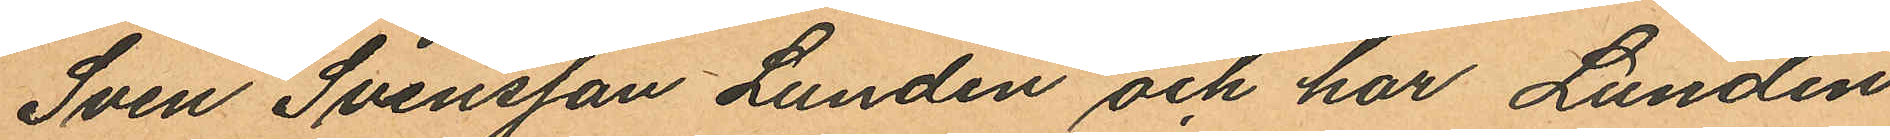Sven Svensson Lundin och har Lundin
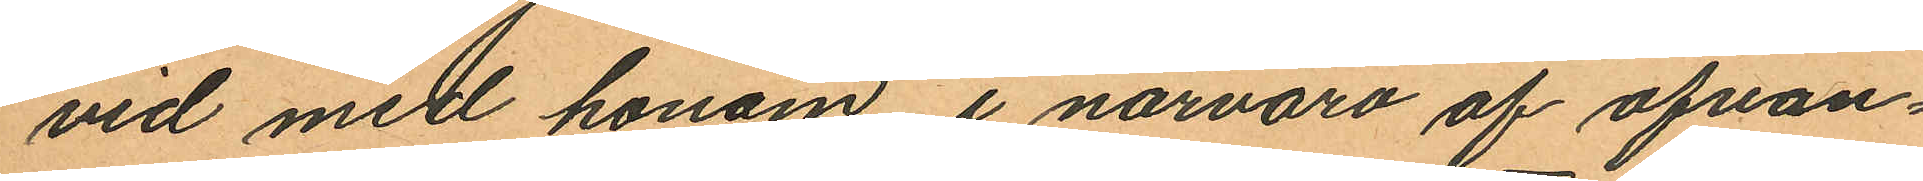vid med honom i närvaro af ofvan¬
